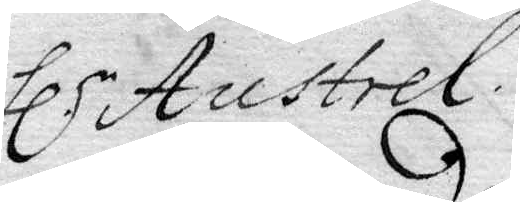hl.r Austrell.
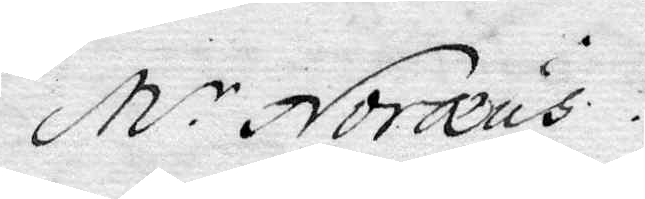M.r Noræus.
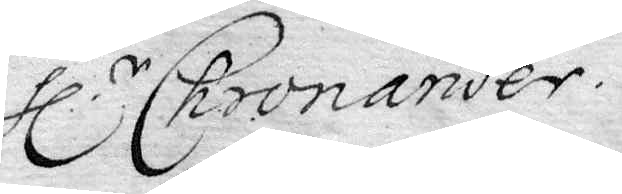hl.r Chronander.
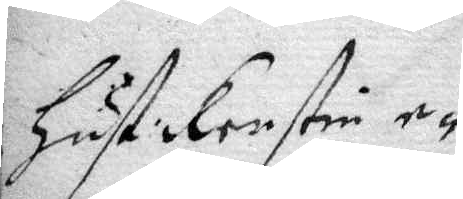Hust: Kerstin e¬ 
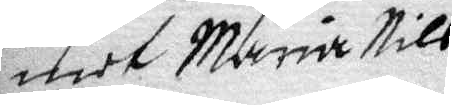mot Maria Nils¬
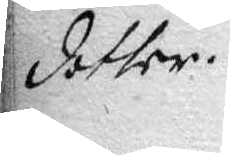dotter.
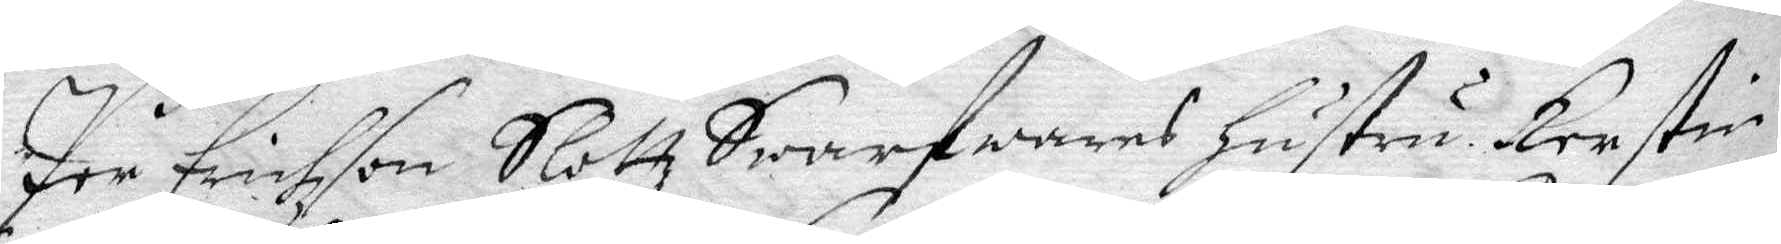Per Erichson Slotz Swarfwares hustru Kerstin
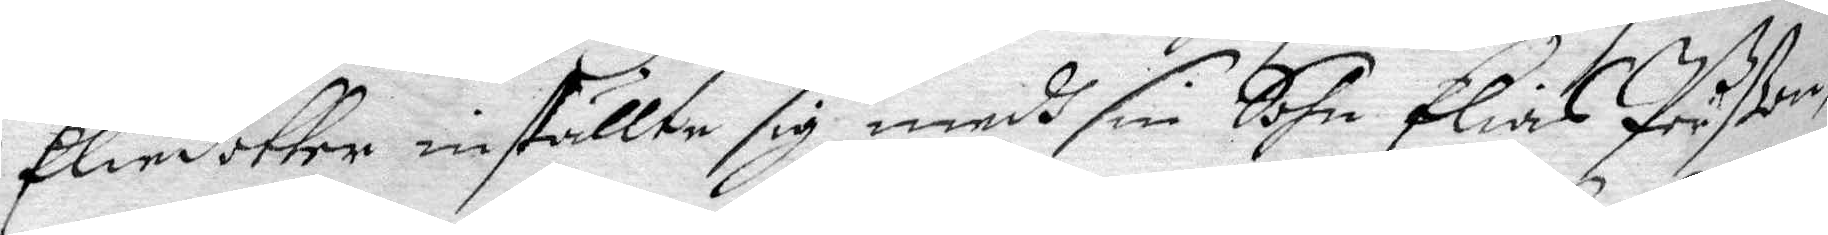Elindotter inställte sig medh sin Sohn Elias Pärßon,
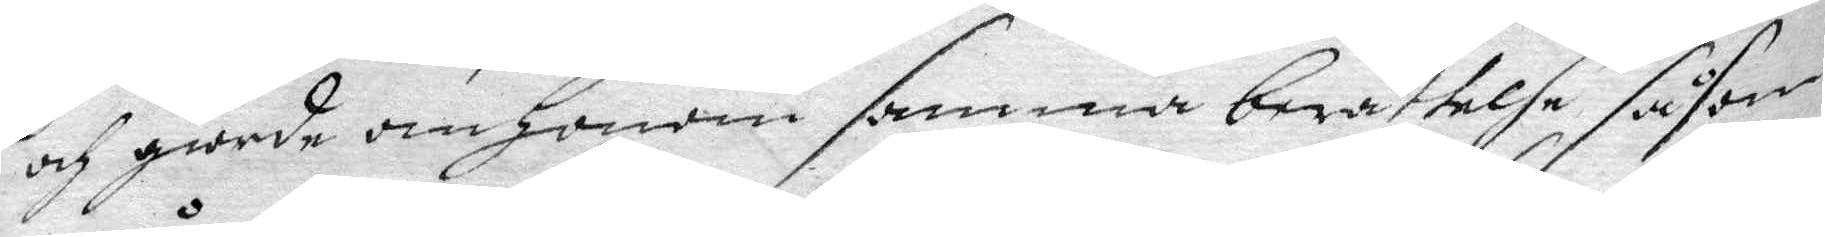och giorde om Honom samma berättelse, såsom
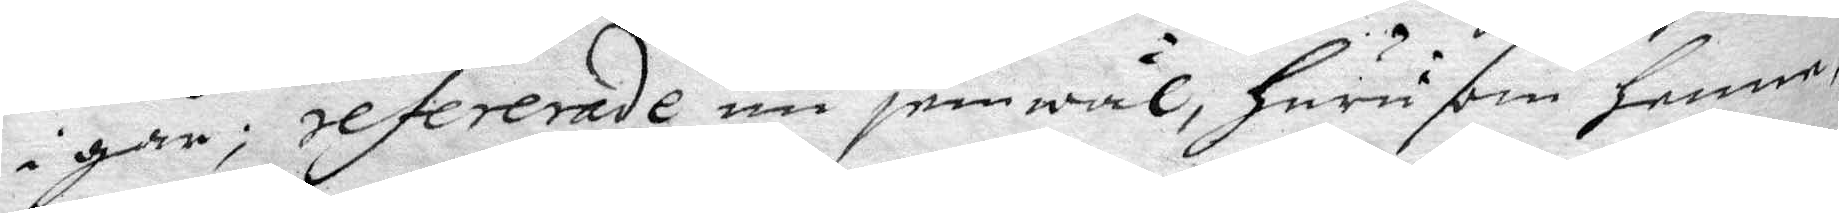igår, refererade nu jemwäl, huru som henne,
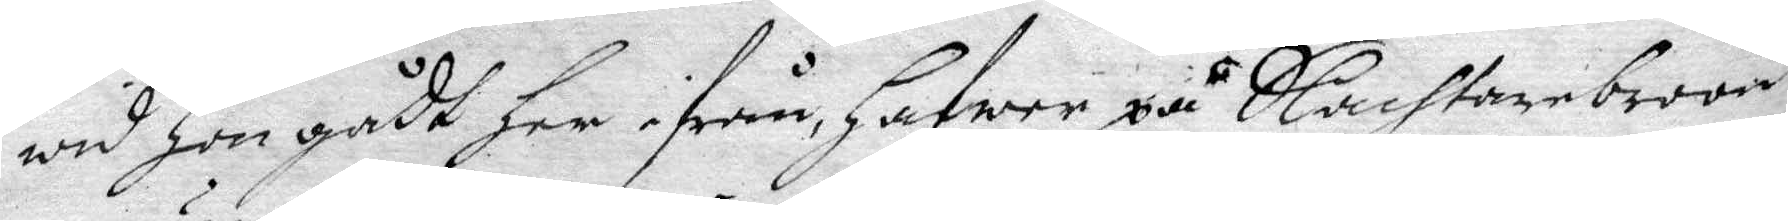wid Hon gådt her ifrån, Hafwer på Slachtarebroon,
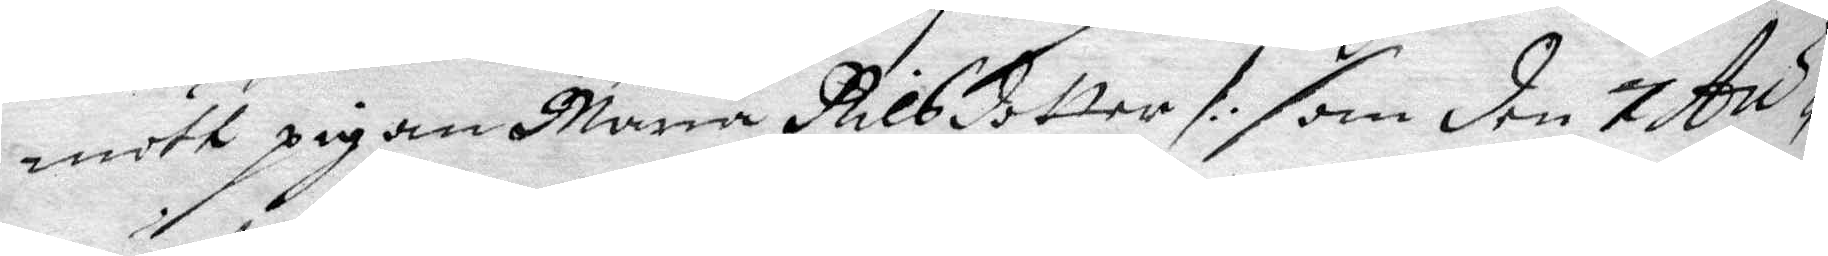mött pigan Maria Nilsdotter /: som den 7 Au¬
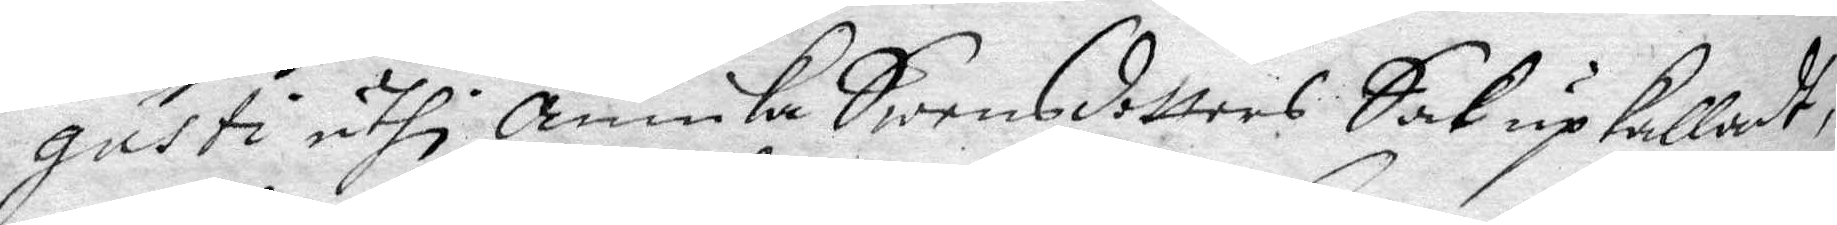gusti uthi Annika Swensdotters Sak upkalladt,
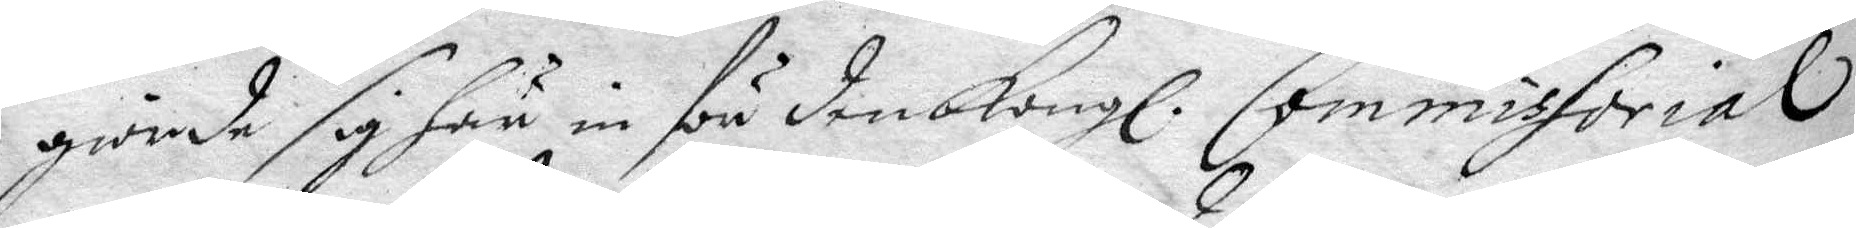giorde sig här in för den Kongl. Commissorial
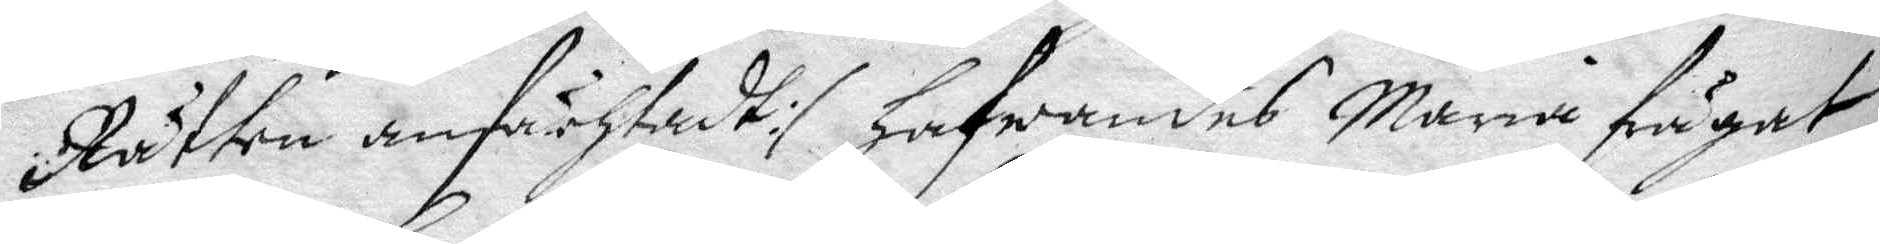Rätten anfächtadt :/ Hafwandes Maria frågat
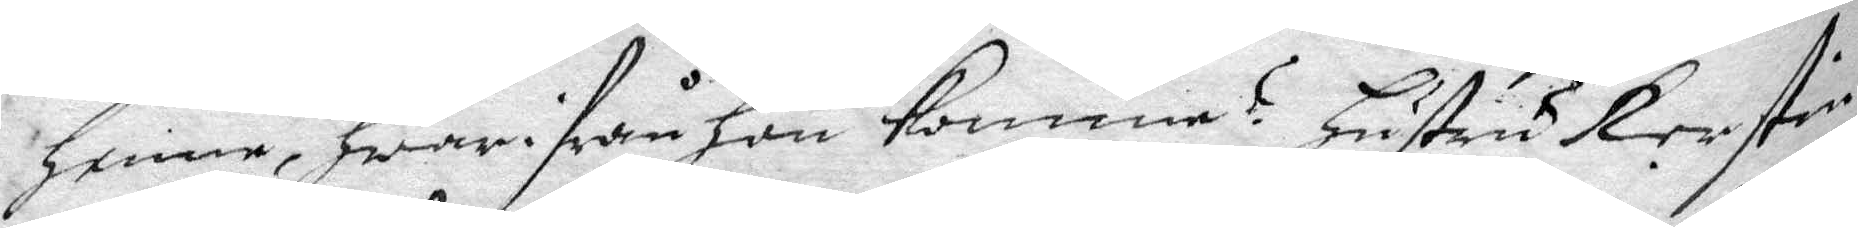henne, hwar ifrån Hon komme? Hustru Kerstin
